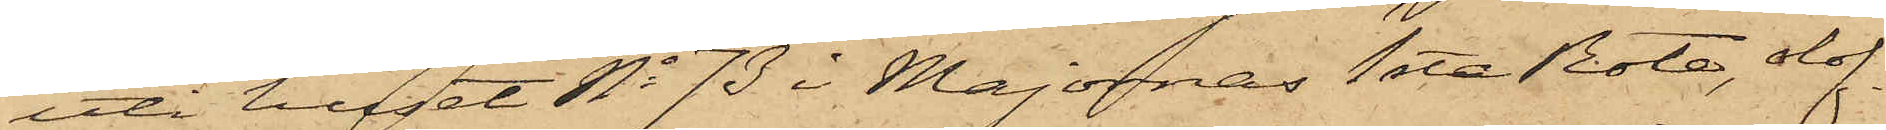uti huset No 73 i Majornas 1sta Rote, olof¬
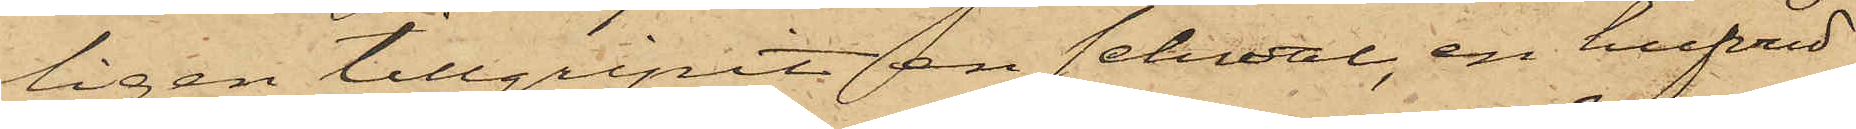ligen tillgripit en schwal, en hufvud¬
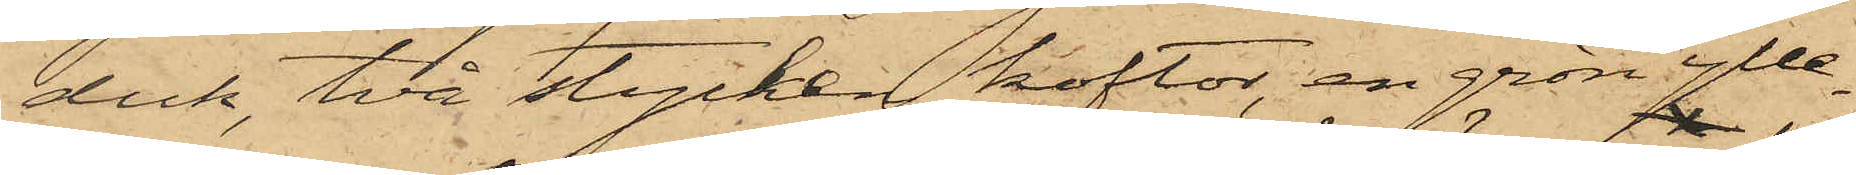duk, två stycken koftor, en grön ylle¬
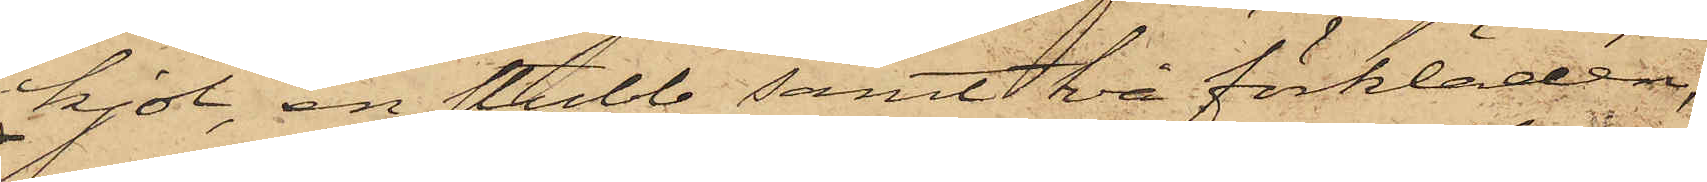kjol, en stubb samt två förkläden,
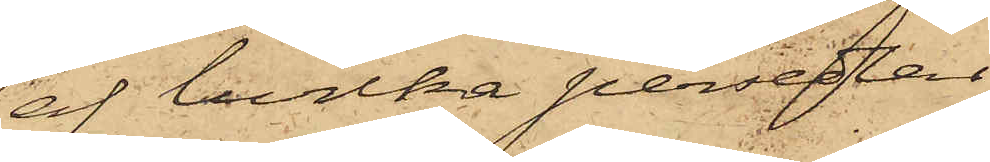af hvilka persedlar
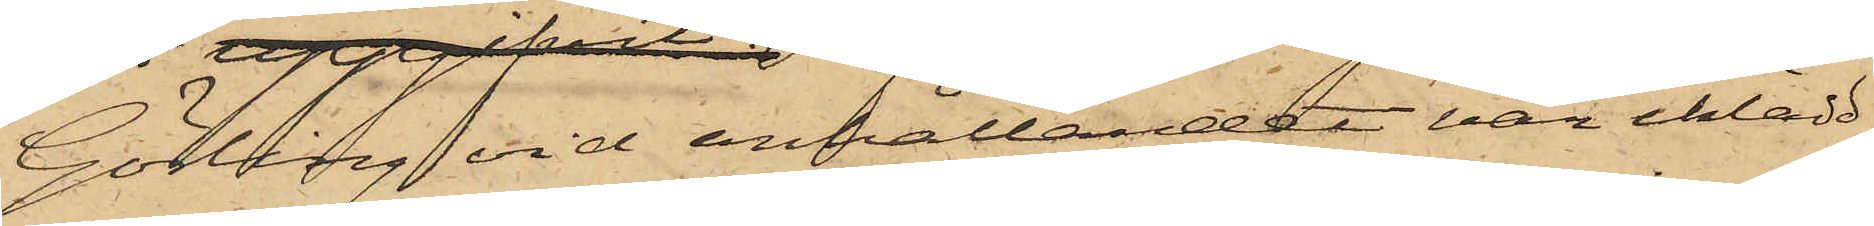Görling vid anhållandet var iklädd
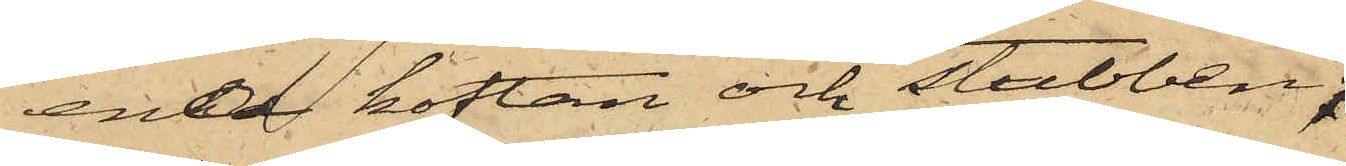ena koftan och stubben,
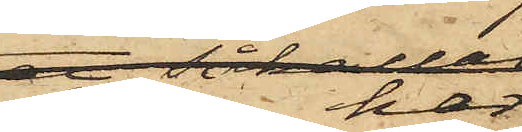och har
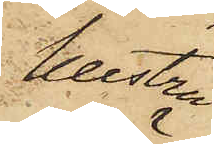hustru
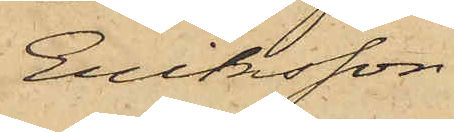Eriksson
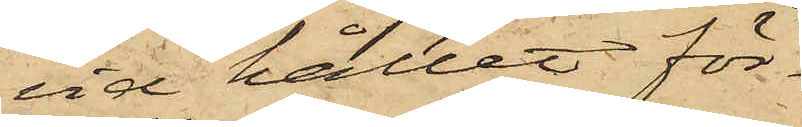vid hållet för¬
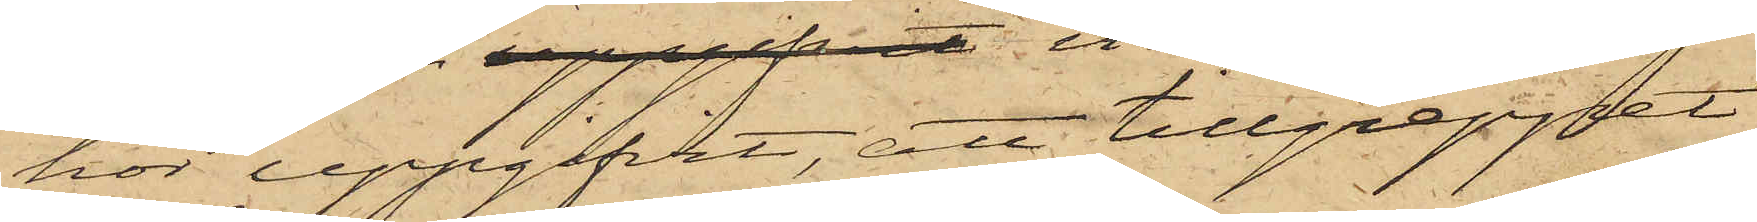hör uppgifvit, att tillgreppet
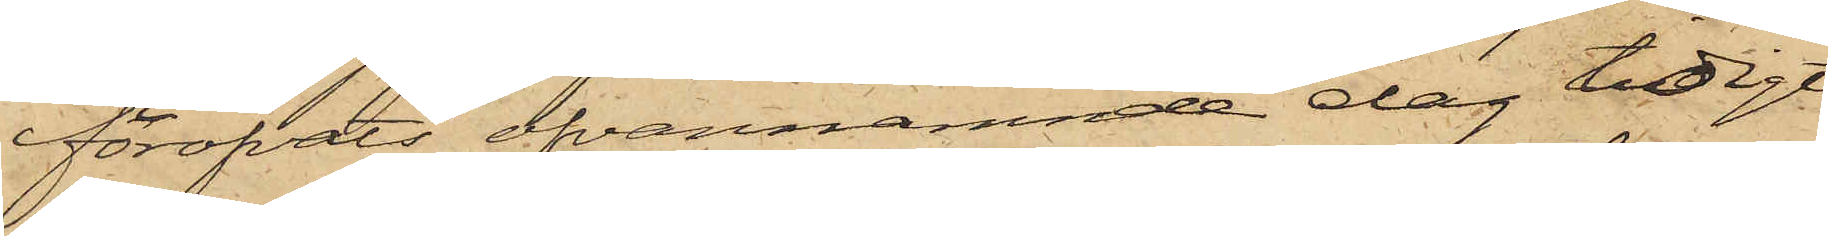föröfvats ofvannämnde dag tidigit
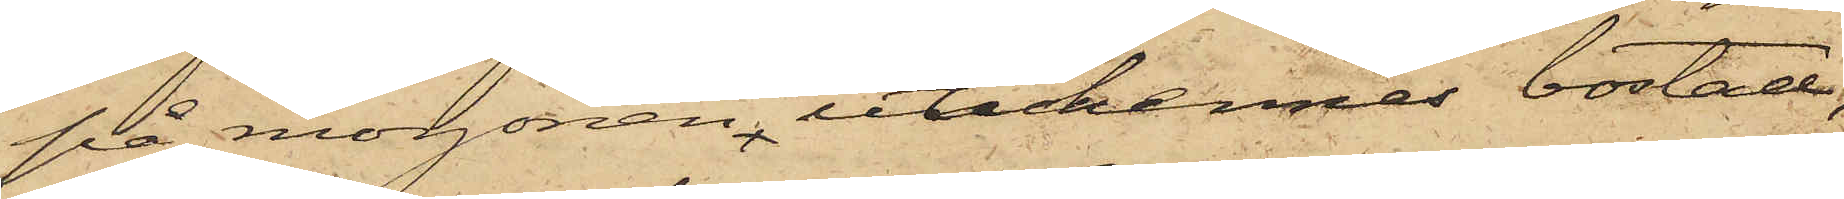på morgonen, uti hennes bostad,
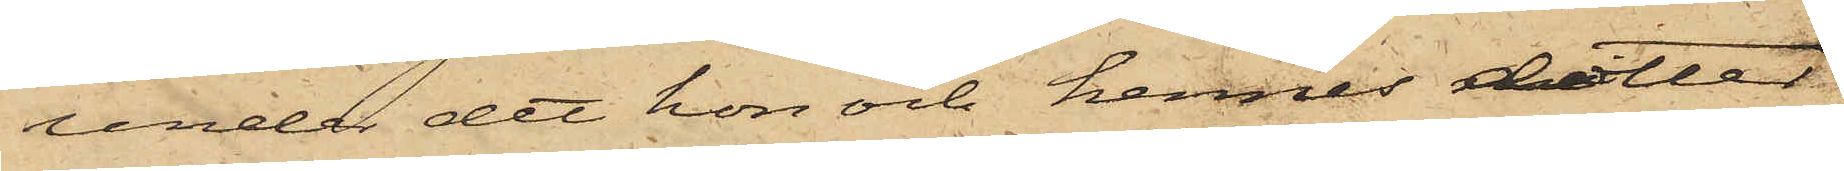under det hon och hennes dotter
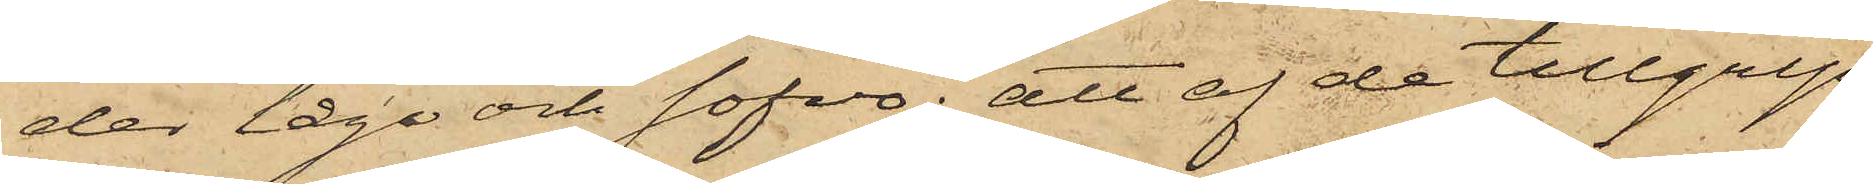der lågo och sofvo; att af de tillgrip¬
